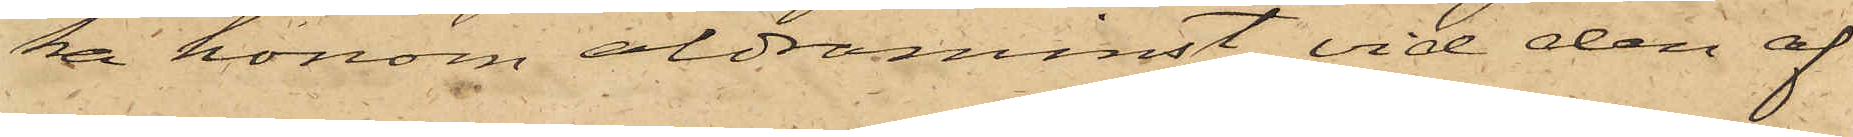ka honom aldraminst vid den af
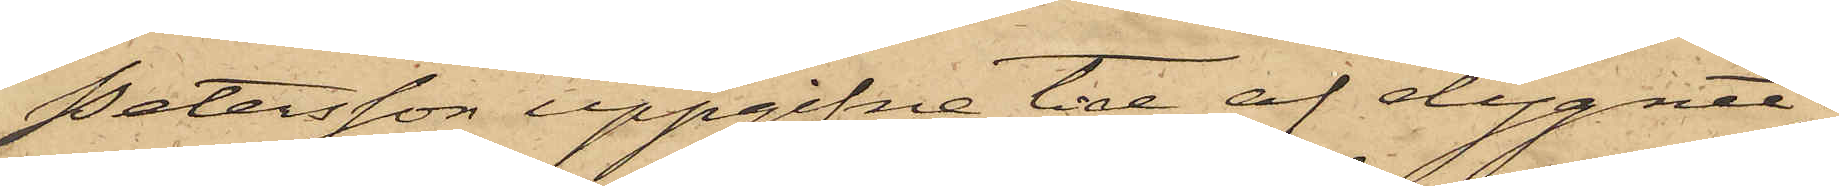Petersson uppgifne tid af dygnet;
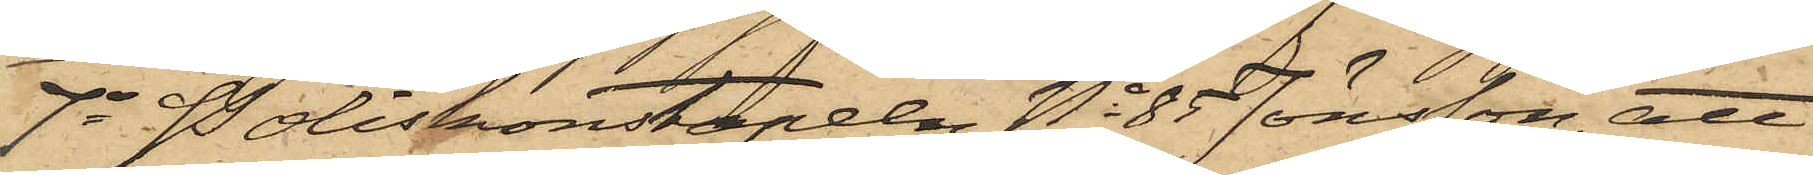7o Poliskonstapeln No 85 Jönsson, att
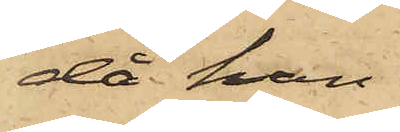då han
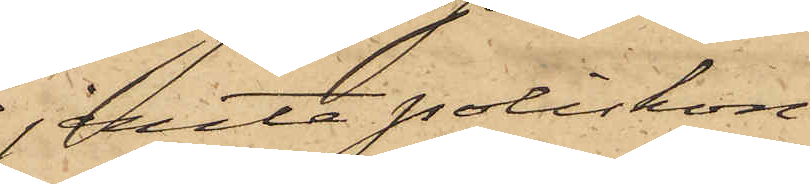jemte poliskon¬
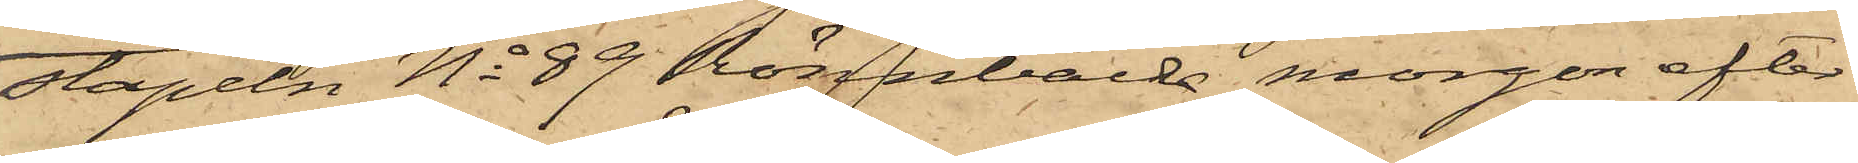stapeln No 89 Rönnbäck morgon efter
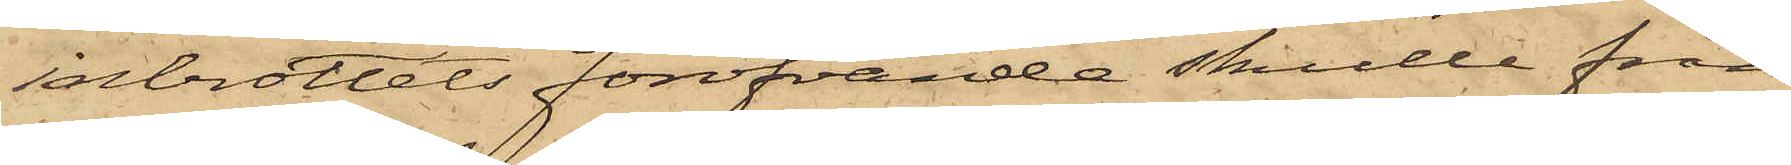inbrottets föröfvande skulle från
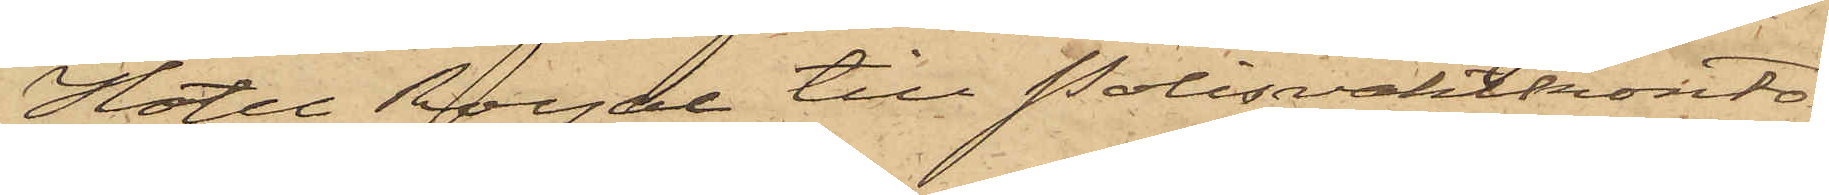Hotel Royal till Polisvaktkonto¬
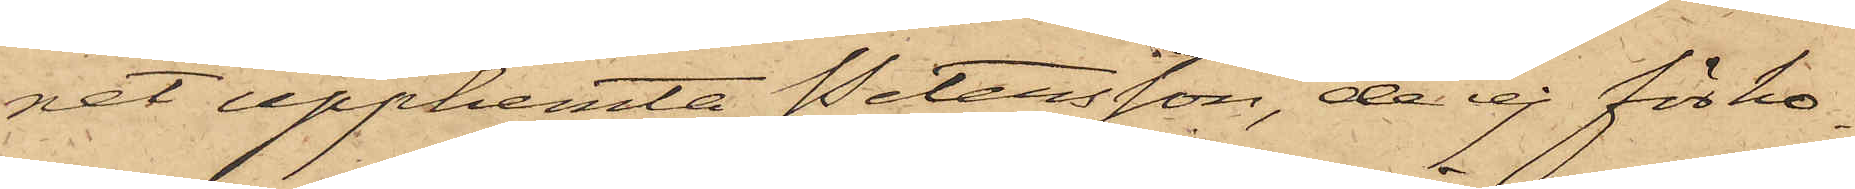ret upphemta Petersson, de ej för ho¬
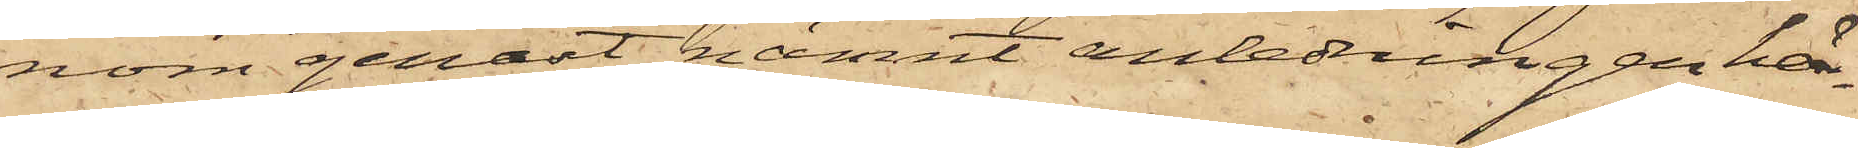nom genast nämnt anledningen här¬
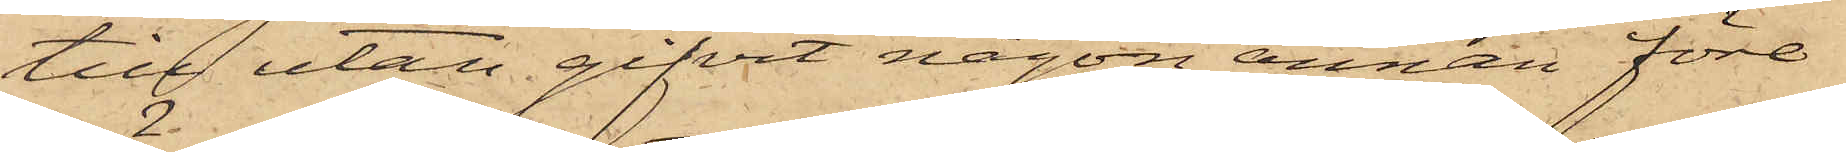till utan gifvit någon annan före¬
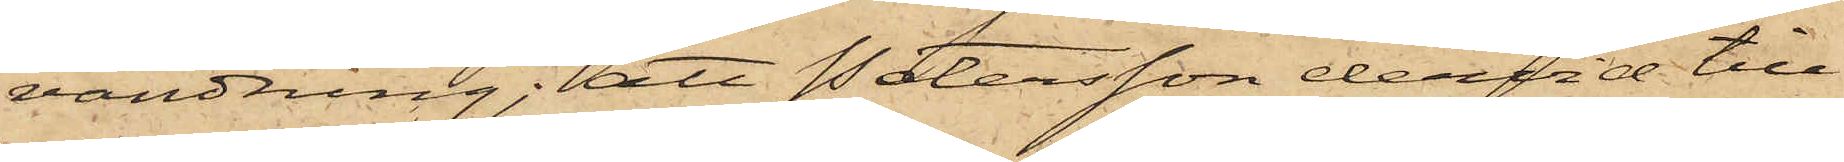vändning; att Petersson dervid till
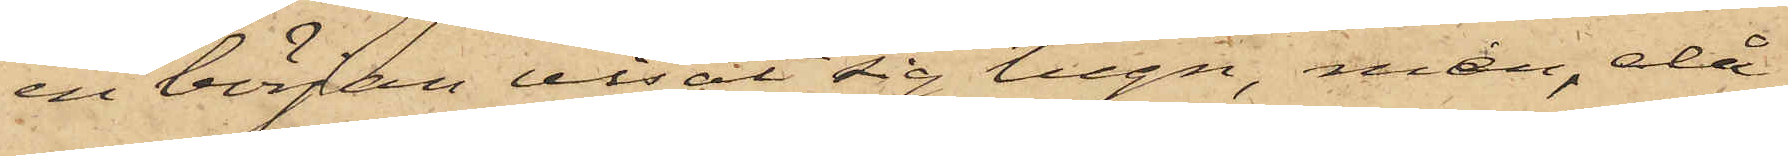en början visat sig lugn, men, då
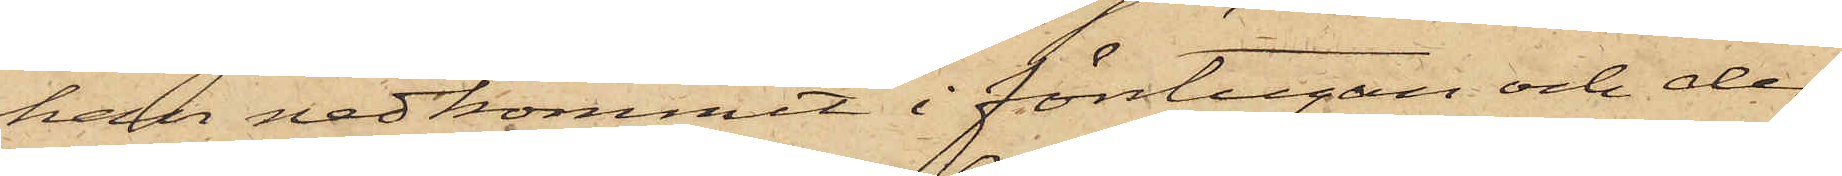han nedkommit i förstugan och der
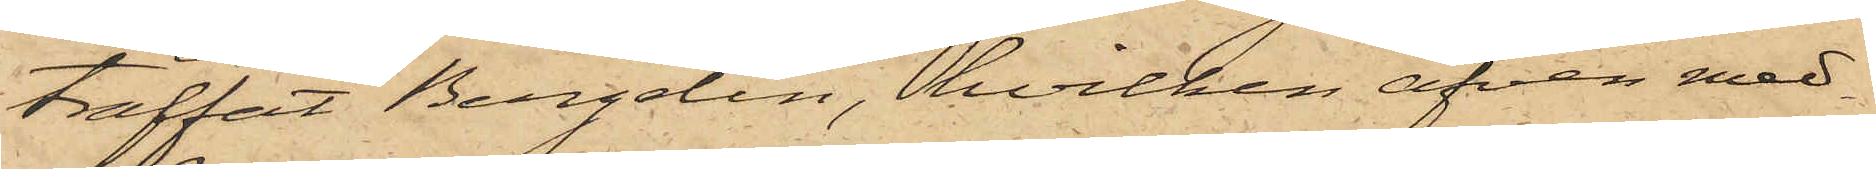träffat Bergelin, hvilken äfven med¬
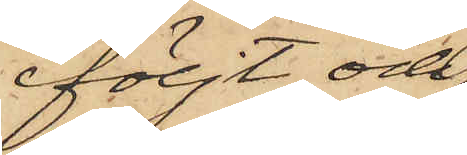följt och
